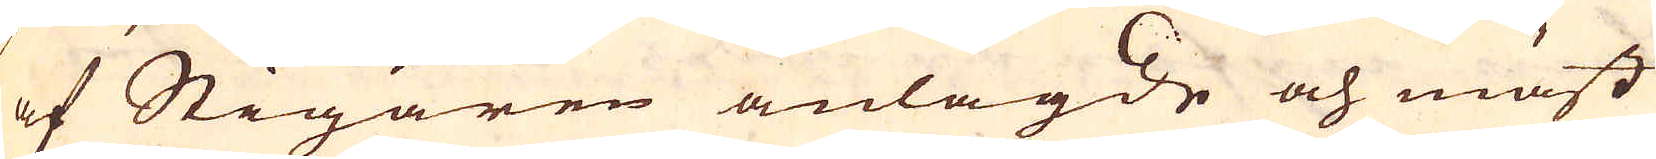af Stigaren anlagde och mäst
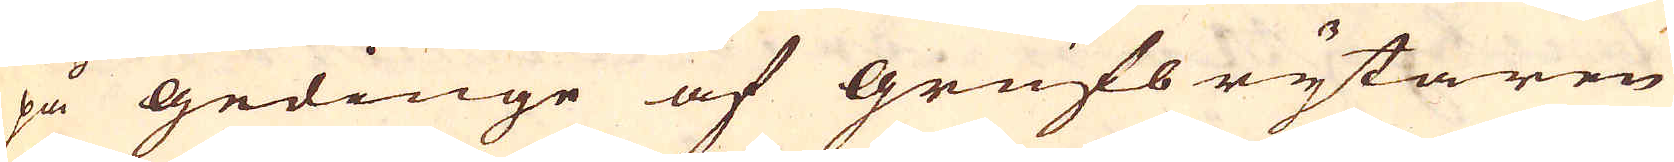på gedinge af grufbrytaren
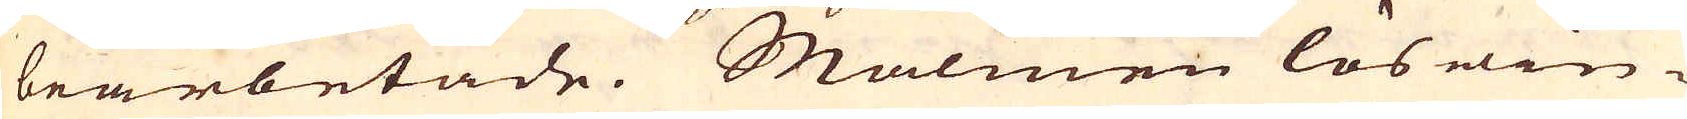bearbetade. Malmen löswin-
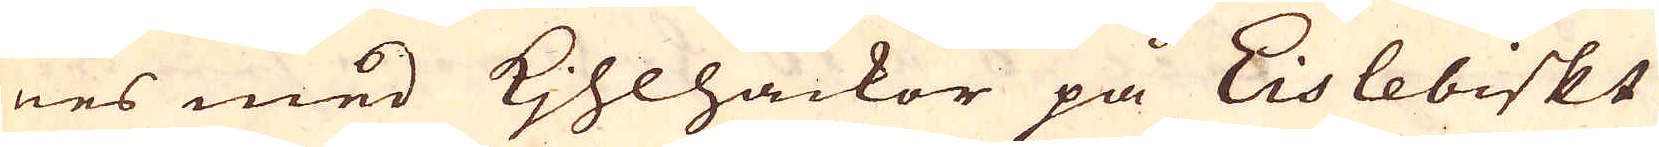nes med Kjhlhackor på Eislebiskt
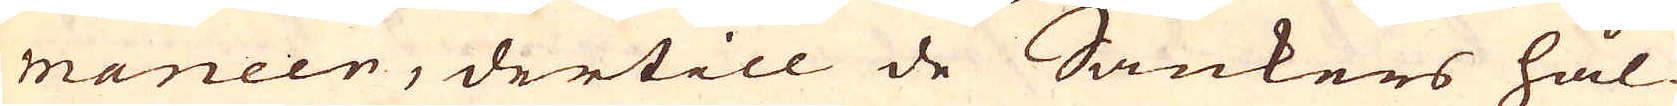maneer, dertill de Sänkers hål-
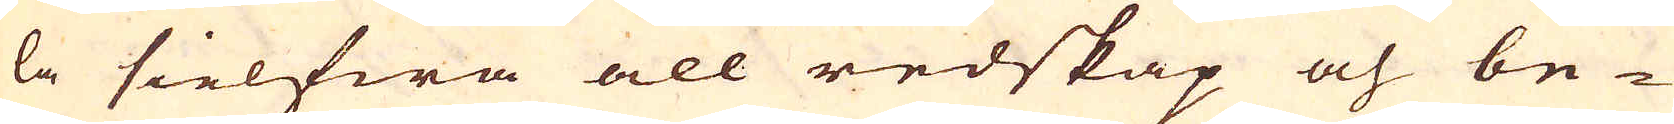la sielfwa all redskap och be-
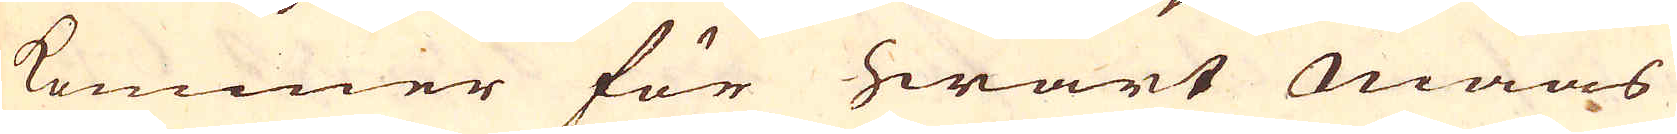kommer för hwart maas
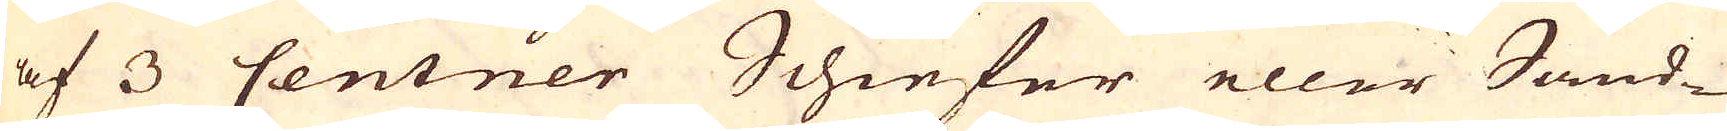af 3 Centner Schiefer eller Sand-
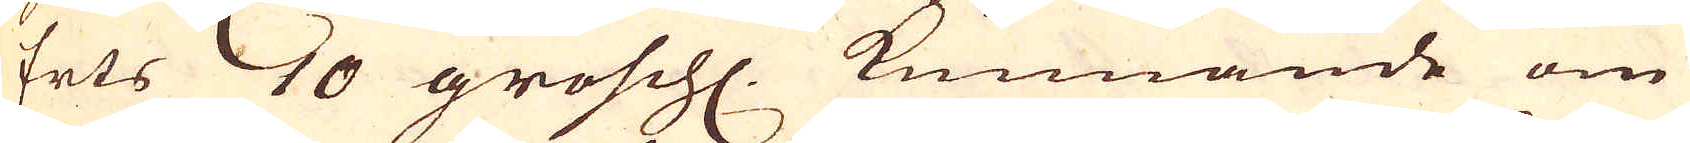Erts 10 grosch. kunnande om
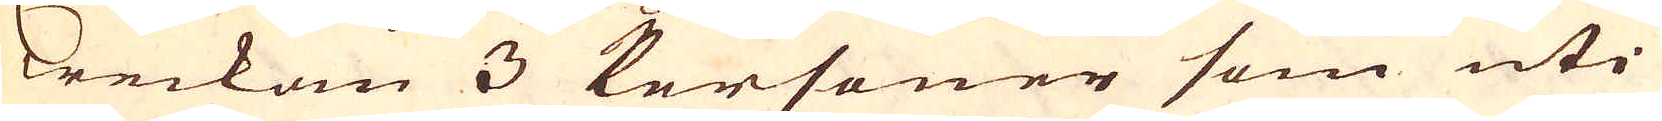weckan 3 Personer som uti
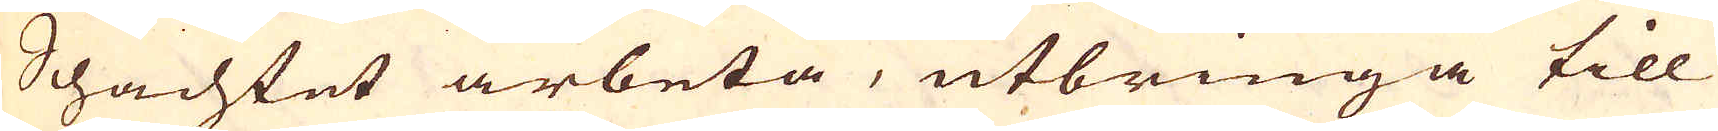Schachtet arbeta, utbringa till
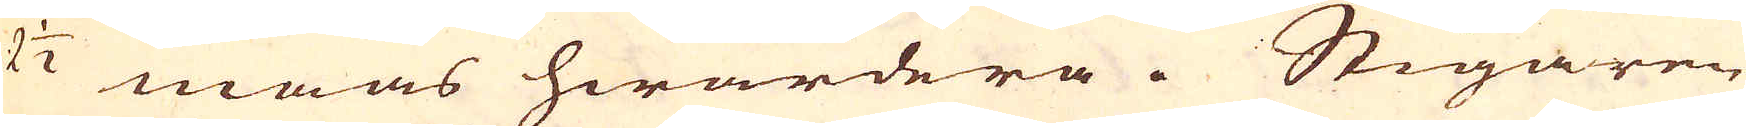2 1/2 maas hwardera. Stigaren
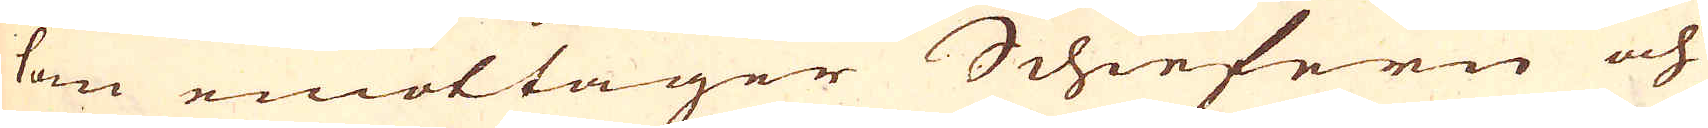som emottager Schiefern och
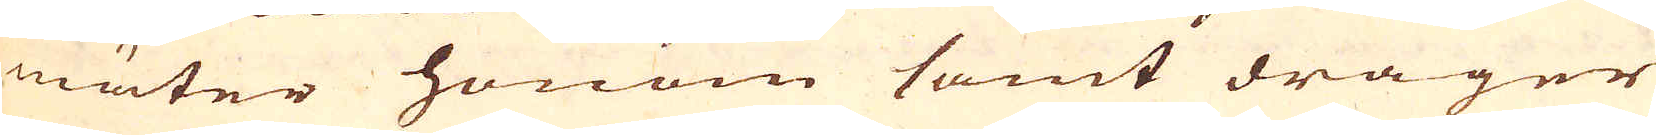mäter honom samt drager
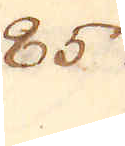857.
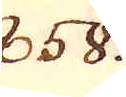858.
